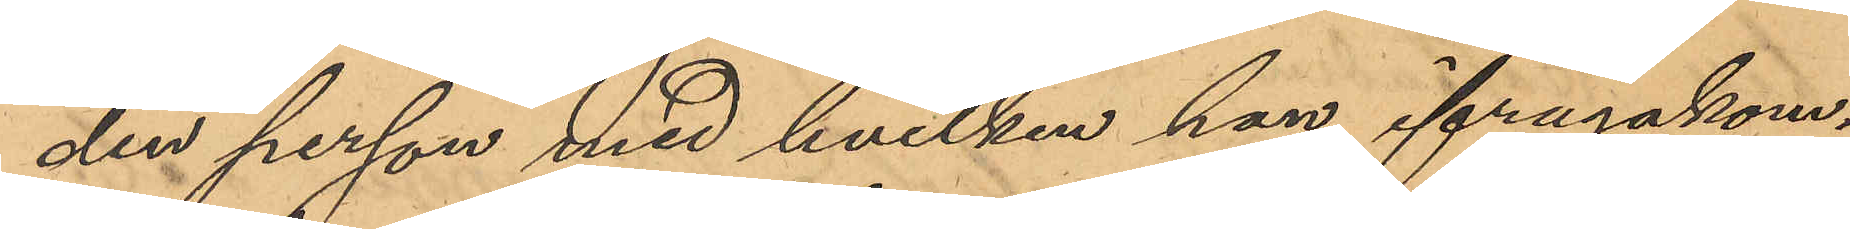den person med hvilken han ifrågakom¬
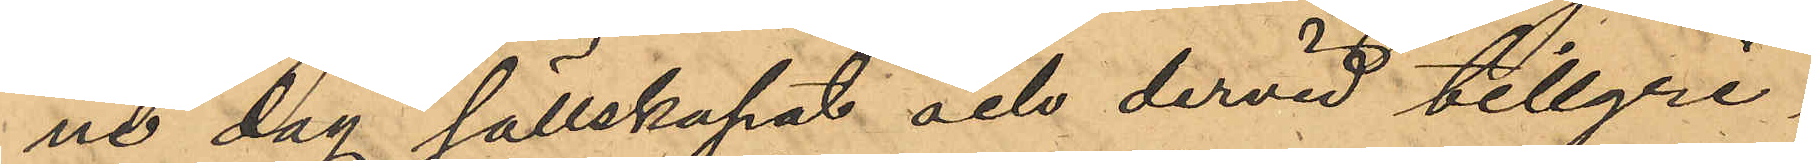ne dag sällskapat och dervid tillgri¬
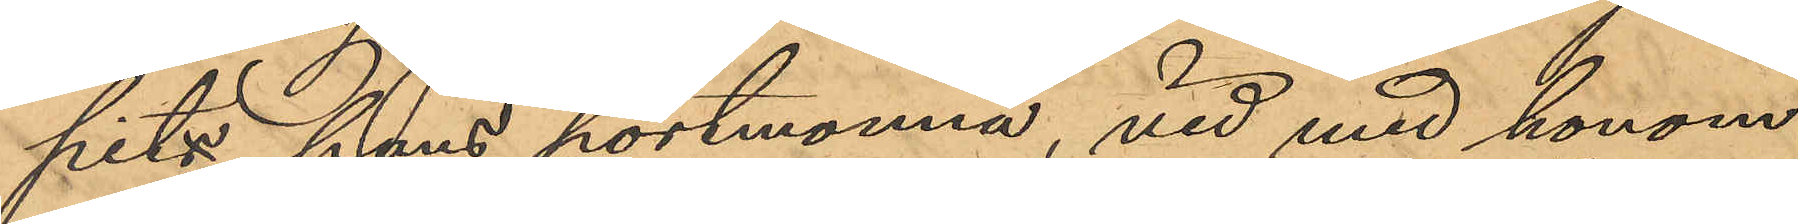pit hans portmonnä, vid med honom
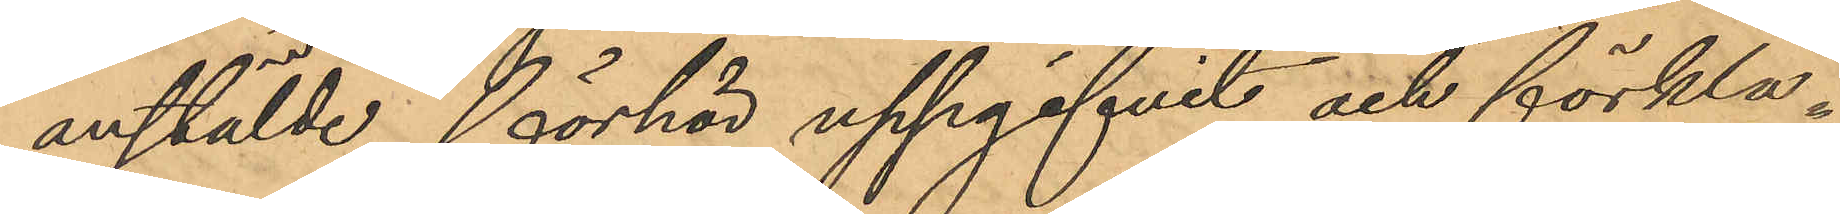anstälde förhör uppgifvit och förkla¬
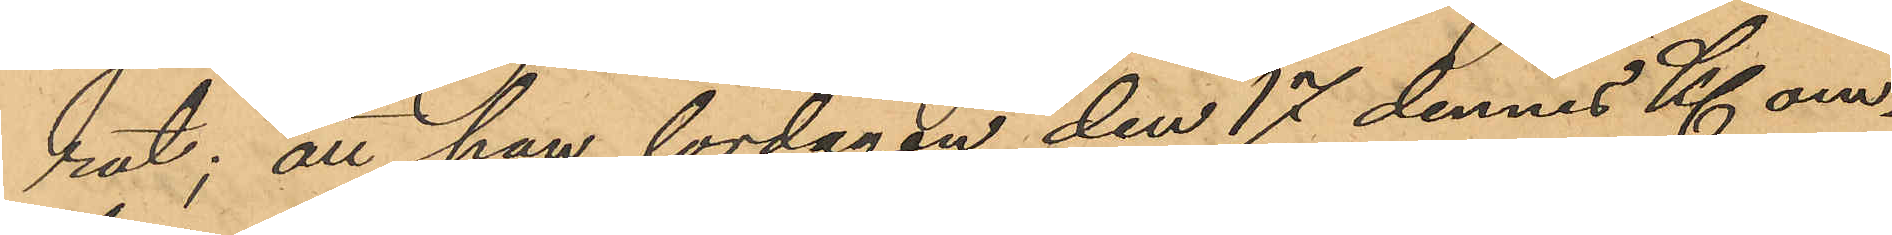rat; att han lördagen den 17 dennes Kl om¬
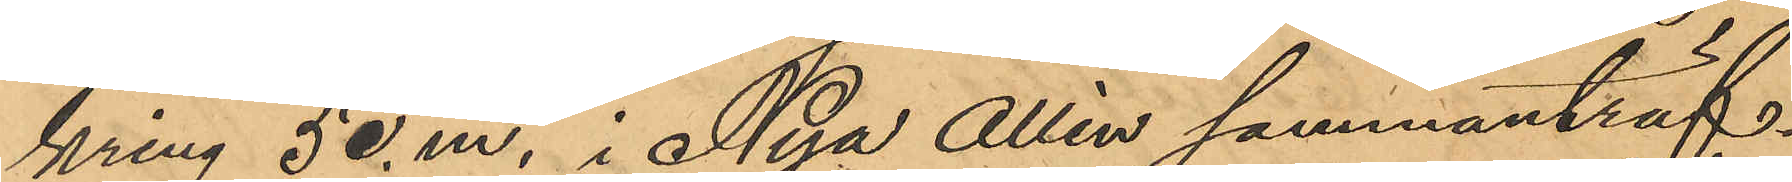kring 5 e. m. i Nya Allén sammanträf¬
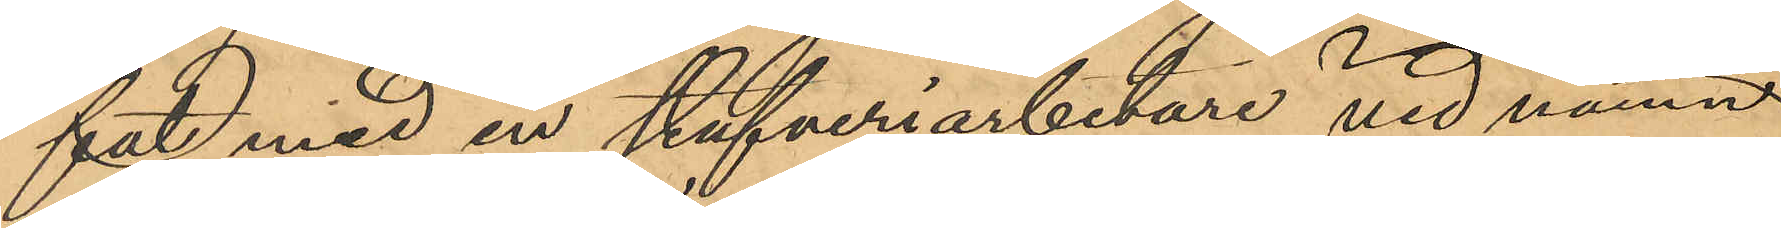fatd med en stufveriarbetare vid namn
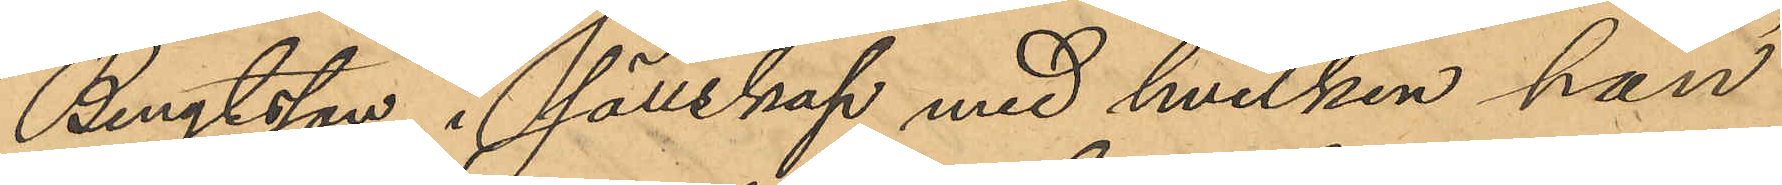Bengtsson, i sällskap med hvilken han
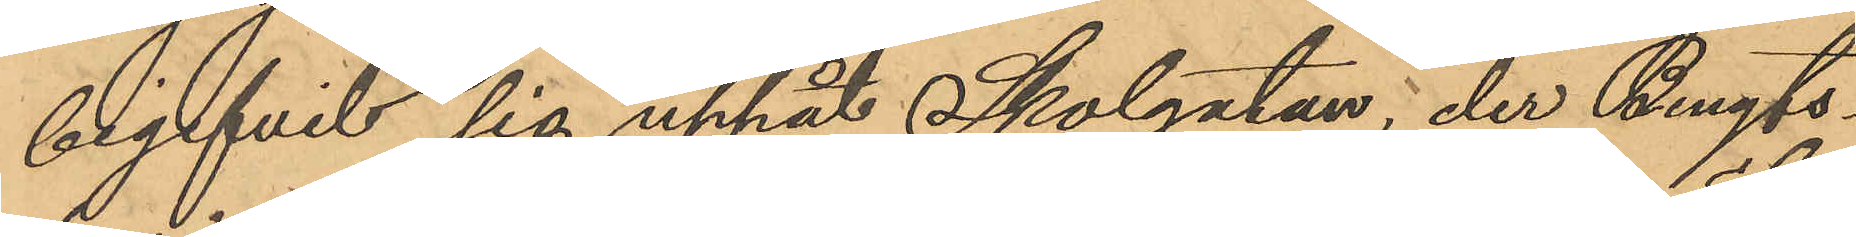begifvit sig uppåt Skolgatan, der Bengts¬
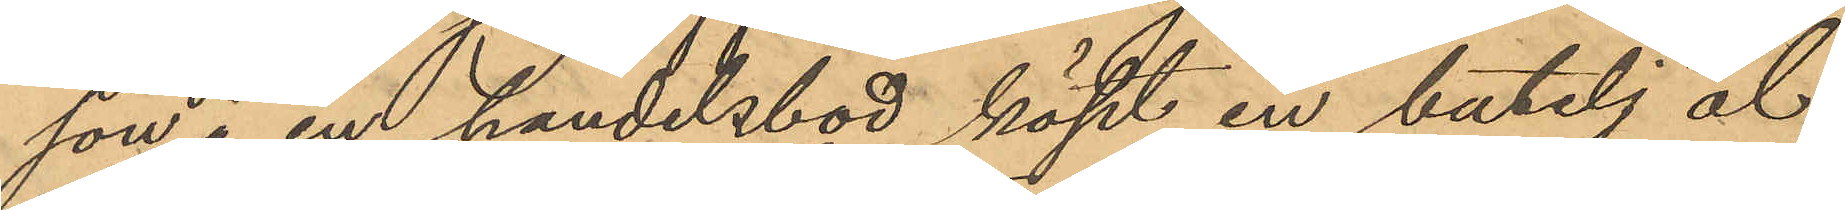son i en handelsbod köpt en butelj öl;
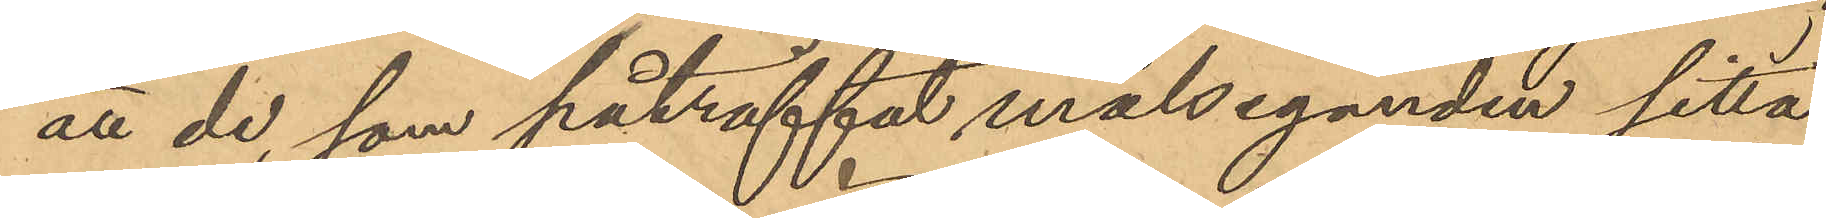att de, som påträffat målseganden sitta
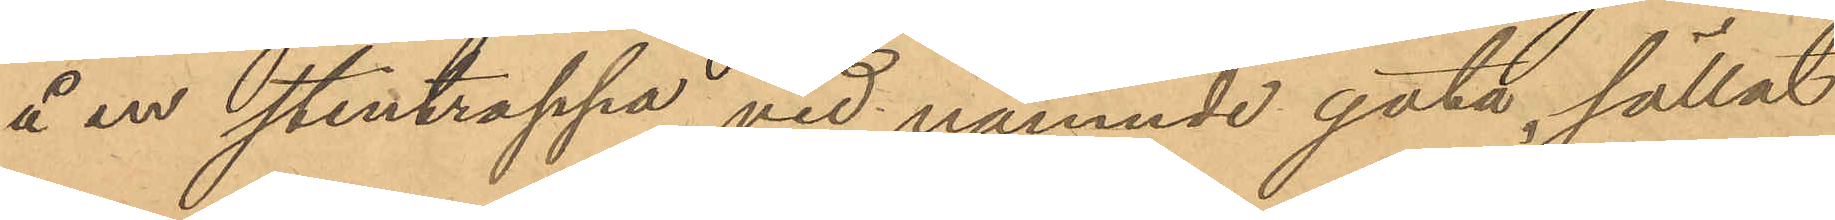å en stentrappa vid nämnde gata, sällat
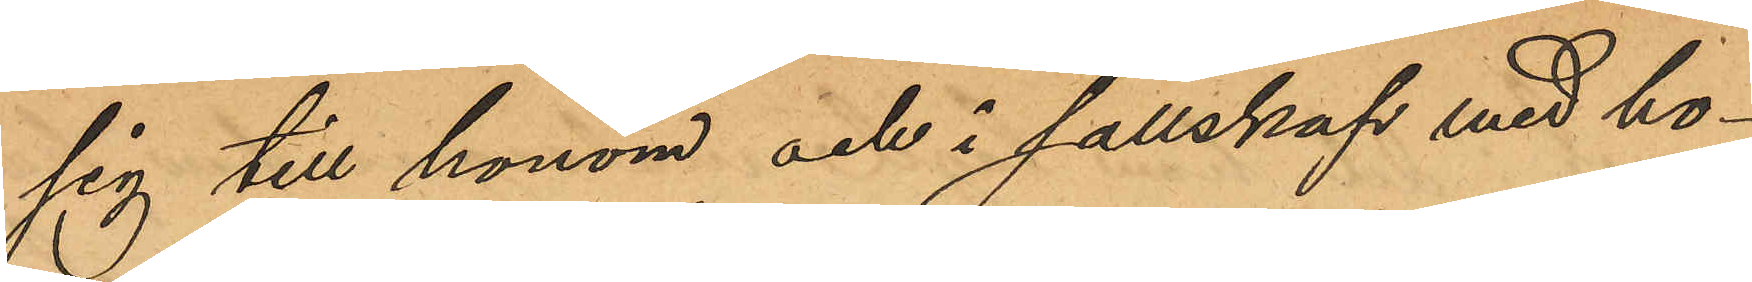sig till honom och i sällskap med ho¬
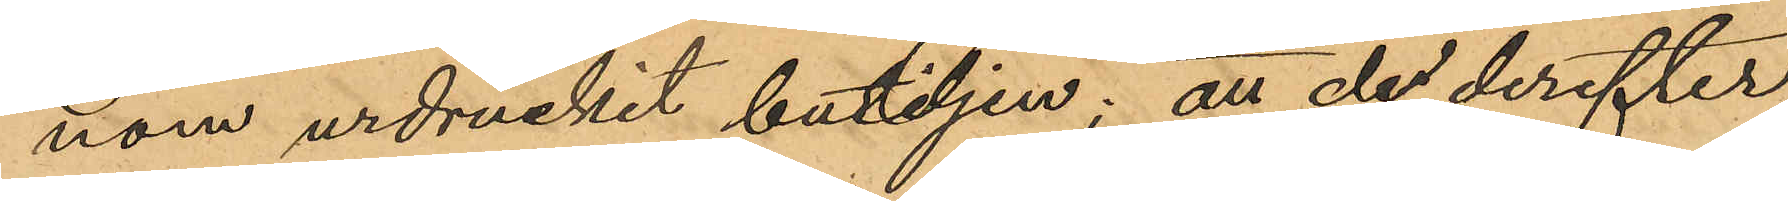nom urdruckit buteljen; att de derefter
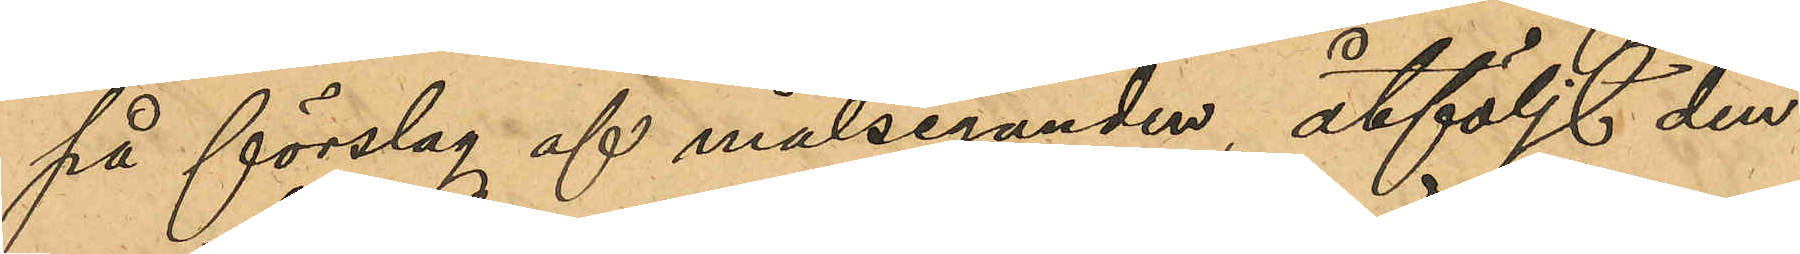på förslag af målseganden, åtföljt den¬
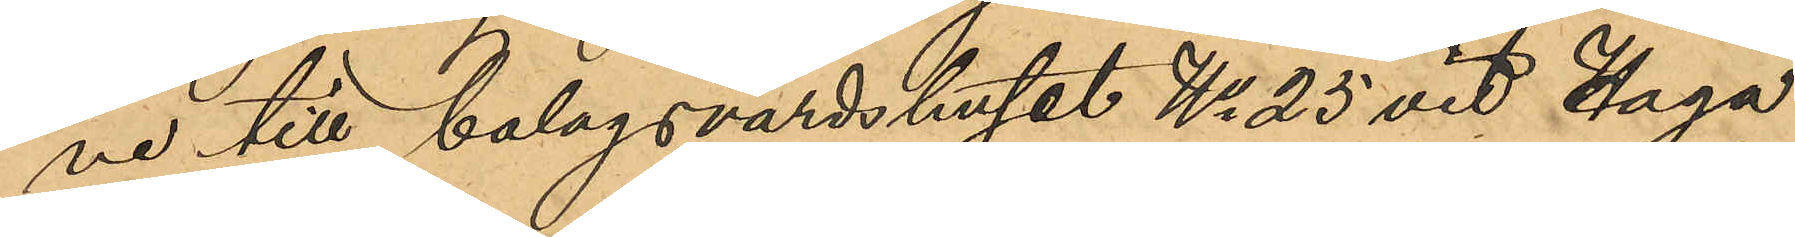ne till bolagsvärdshuset No 25 vid Haga
